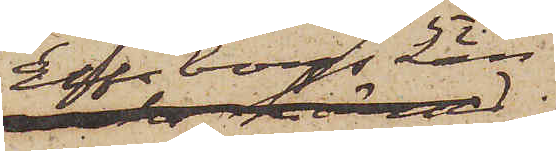Elfsborgs län;
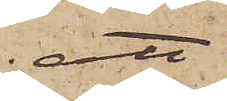att
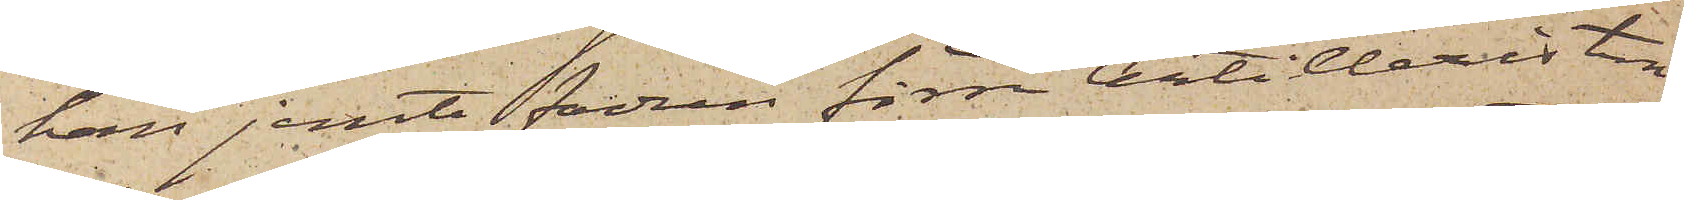han jemte fadren förre Artilleristen
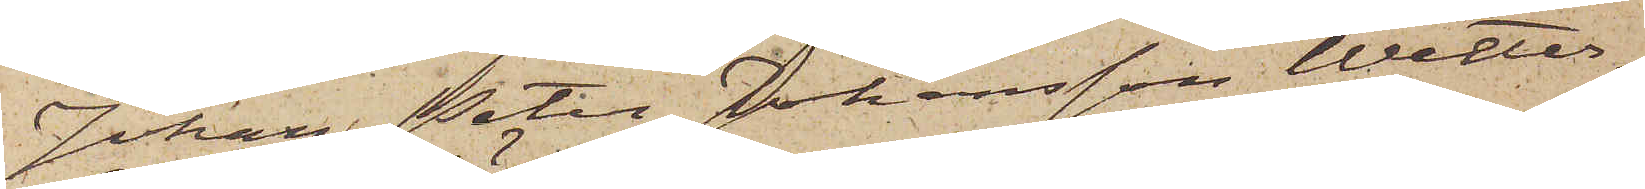Johan Peter Johansson Wetter¬
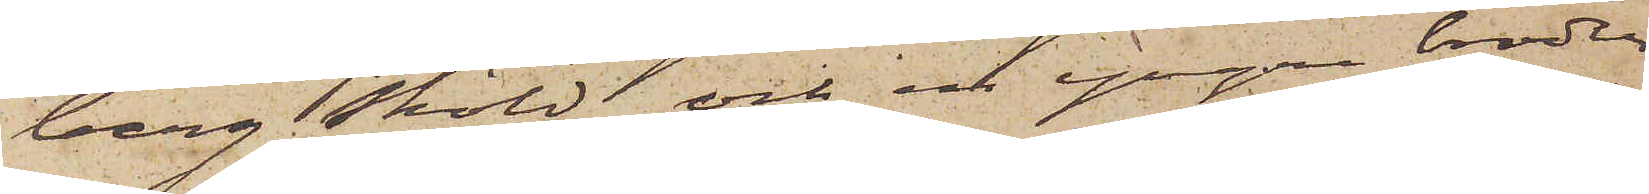berg Sköld och en yngre broder
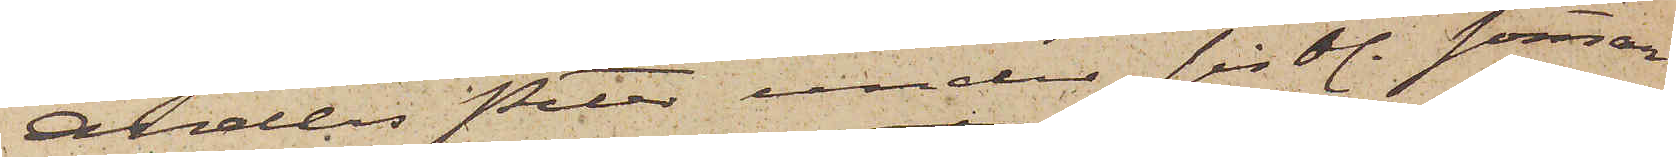Anders Peter under sistl. sommar
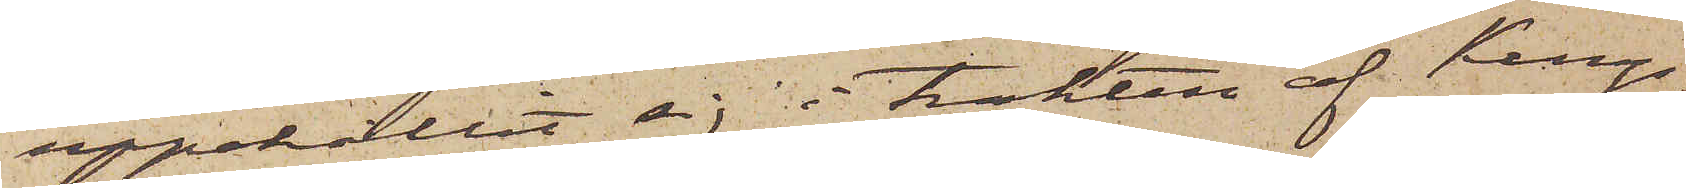uppehållit sig i trakten af Kungs¬
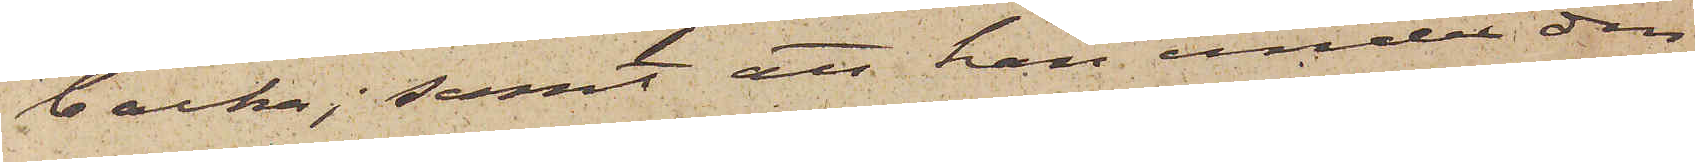backa; samt att han under den¬
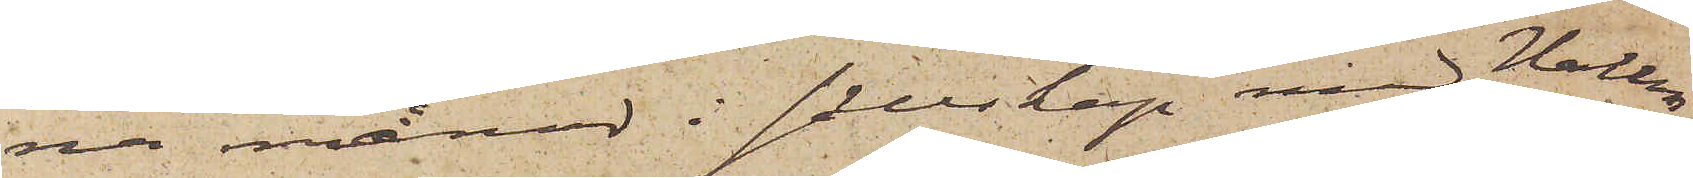na månad i sällskap med Hallen¬
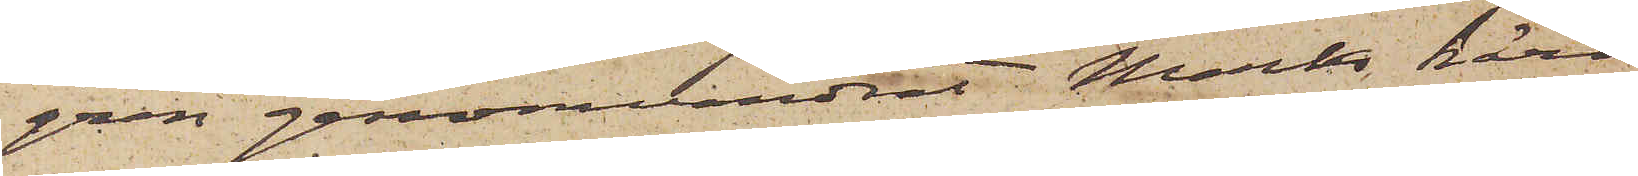gren genomvandrat Marks härad
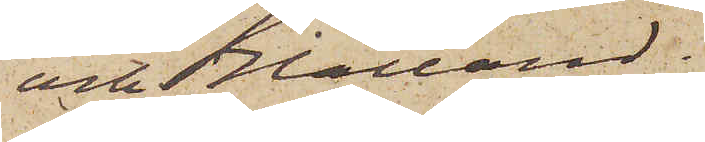och Halland.
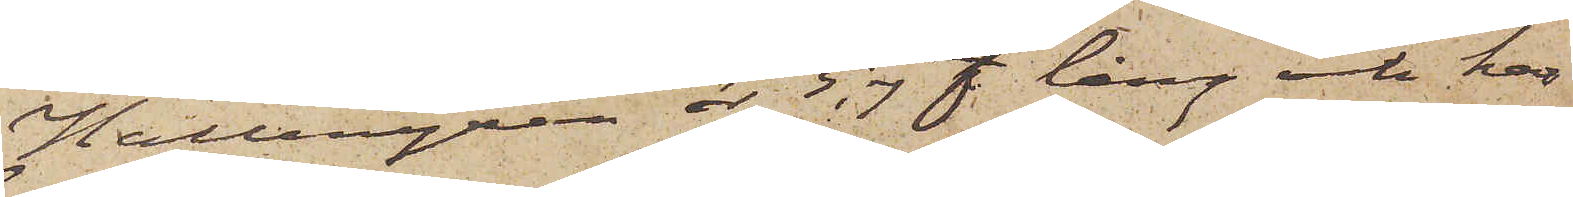Hallengren år 5,7 f lång och har
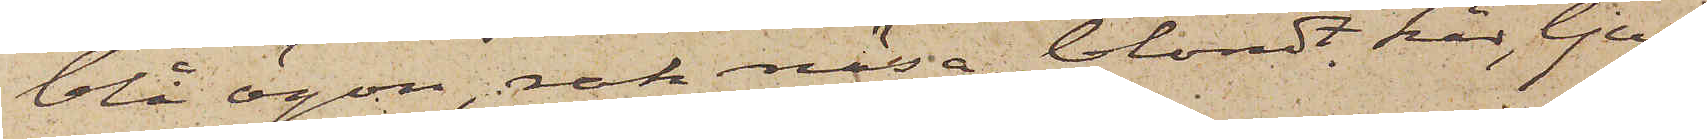blå ögon, rak näsa, blondt hår, ljust
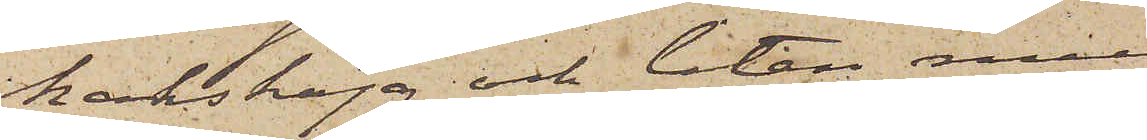hakskägg och liten mun
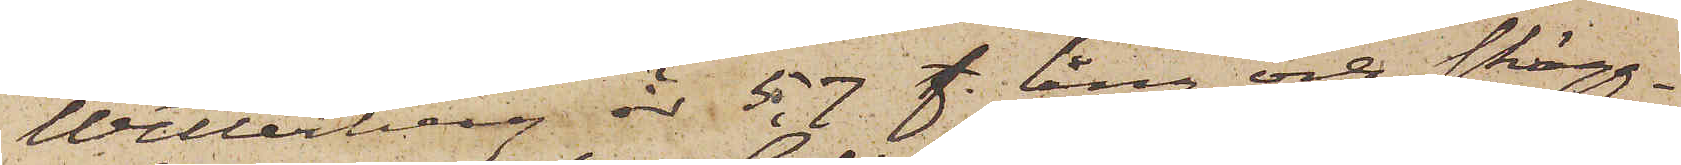Wetterberg är 5,7 f. lång och skägg¬
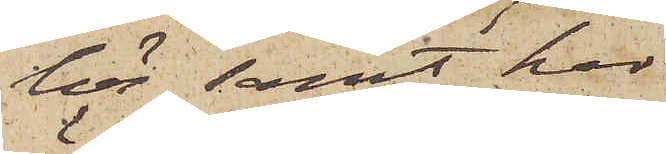lös samt har
